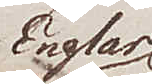Englar
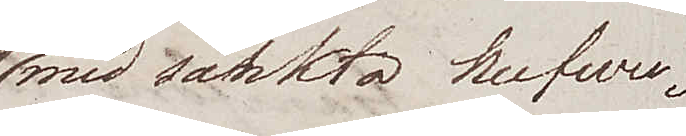med sänkta hufwu¬
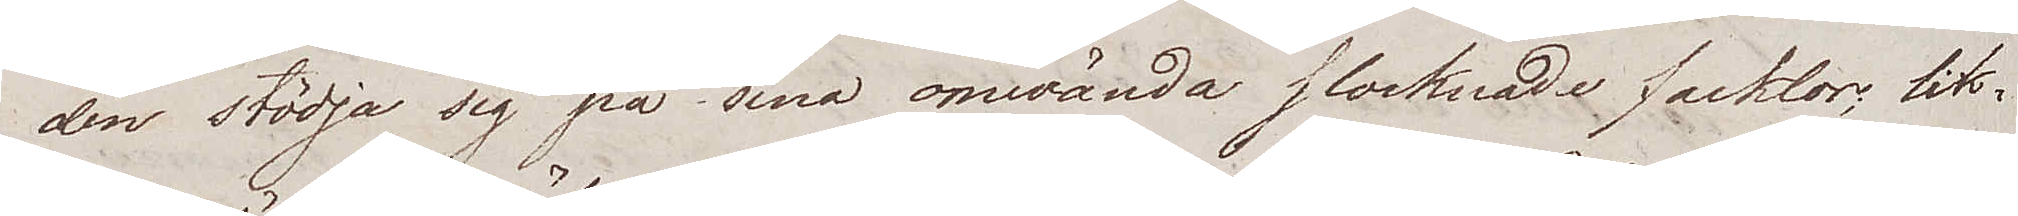den stödja sig på sina omwända slocknade facklor; lik¬
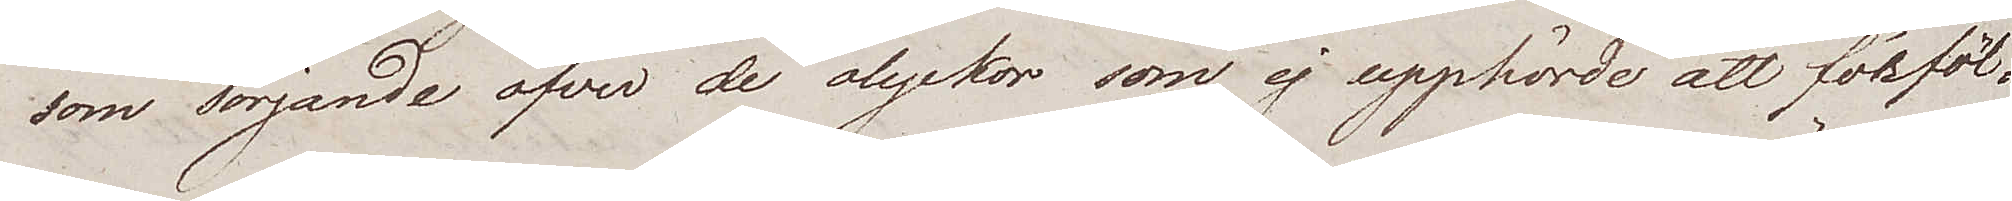som sörjande öfver de olyckor som ej upphörde att förföl¬
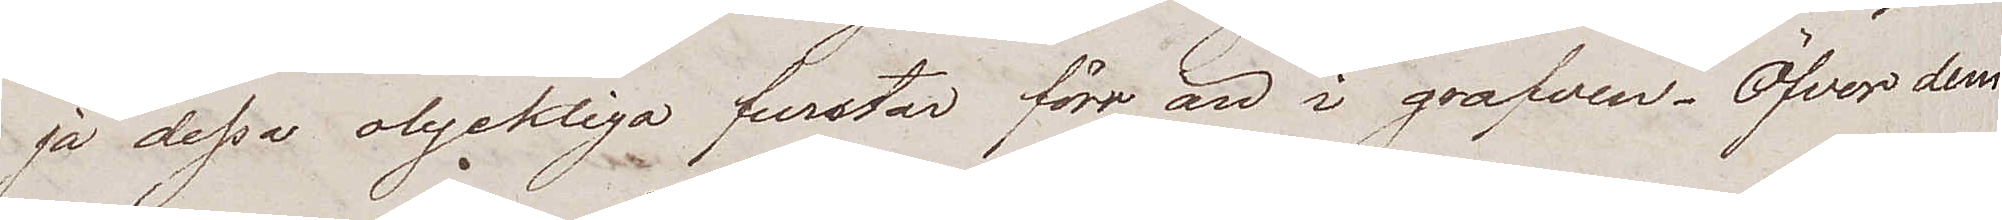jå dessa olyckliga furstar förr än i grafven. Öfver dem
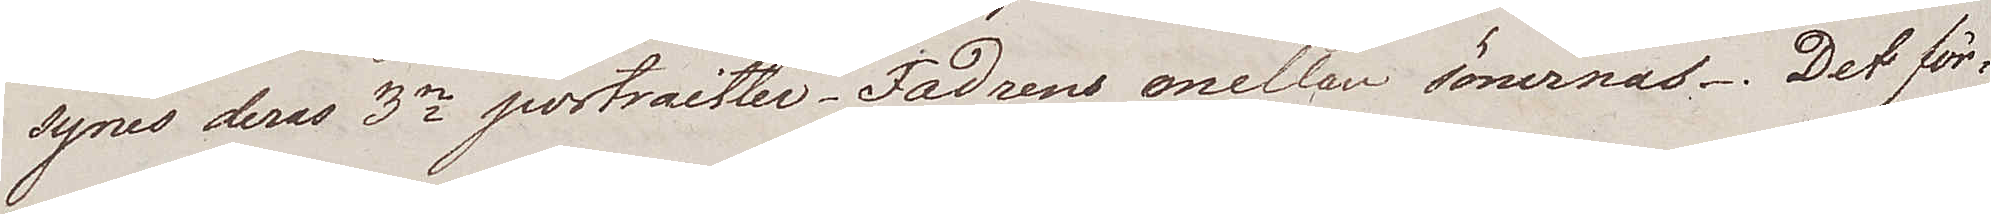synes deras 3ne portraitter. Fadrens emellan sönernas. Det för¬
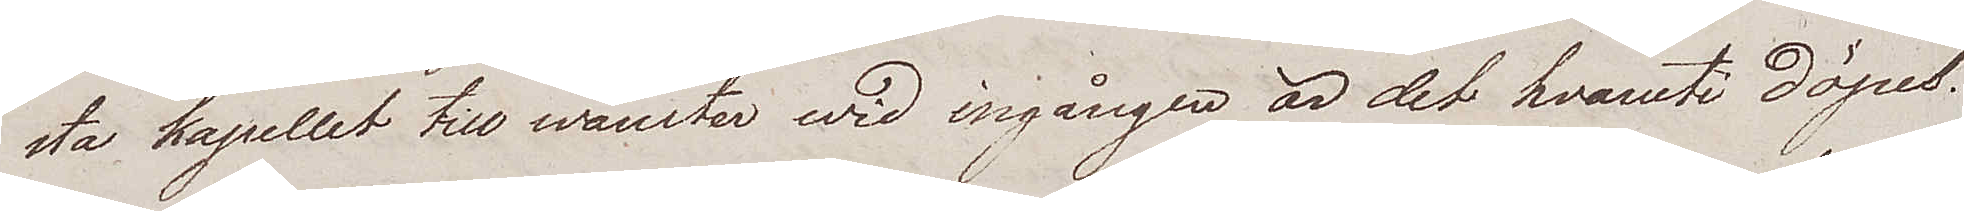sta kapellet till wänster wid ingången är det hvaruti döpes.
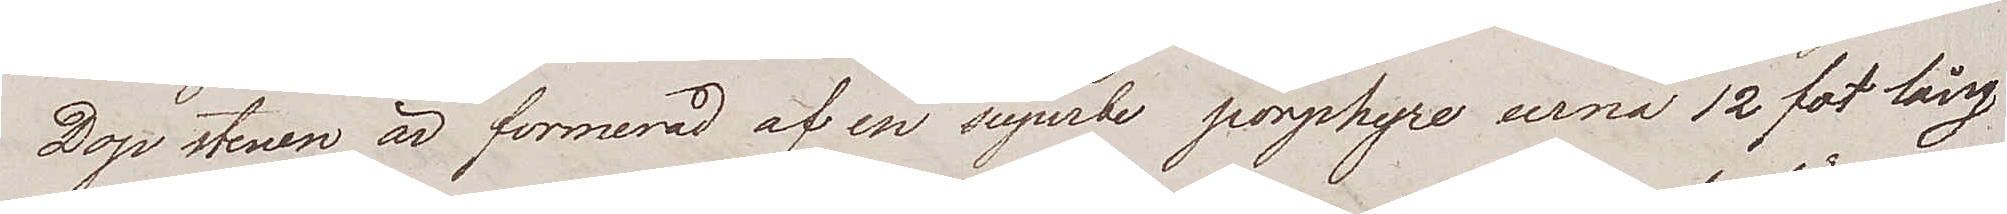Dop stenen är formerad af en superbe porphyre urna 12 fot lång
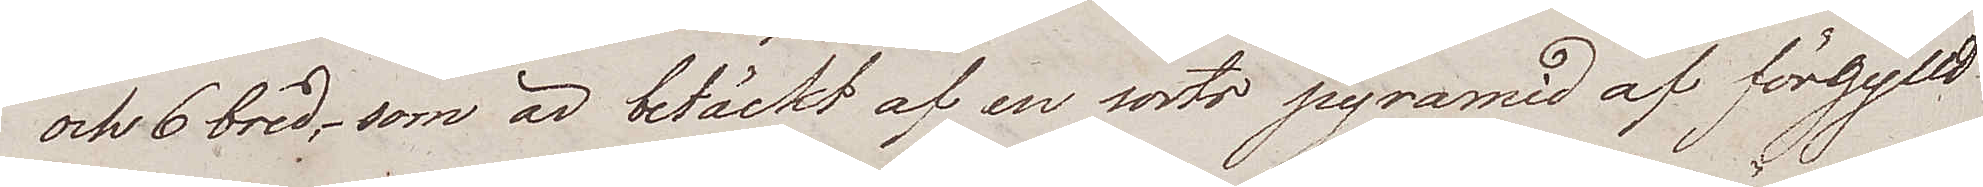och 6 bred, som är betäckt af en sorts pyramid af förgylld
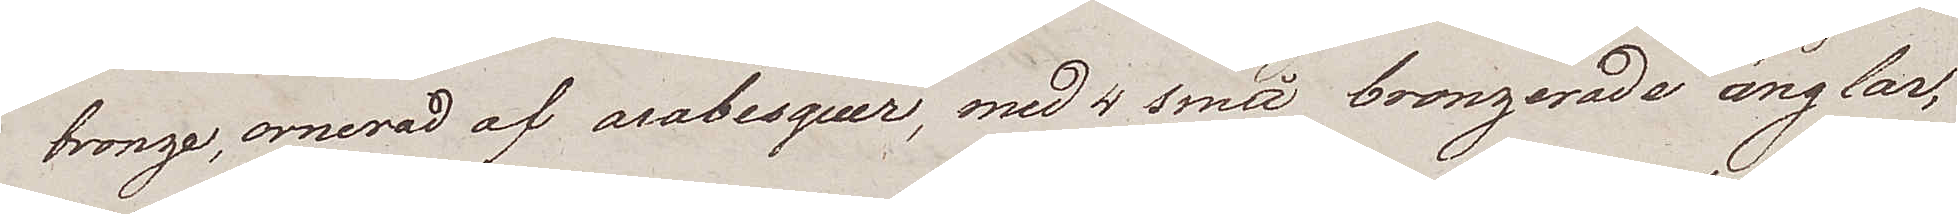bronze, ornerad af arabesquer, med 4 små bronzerade änglar,
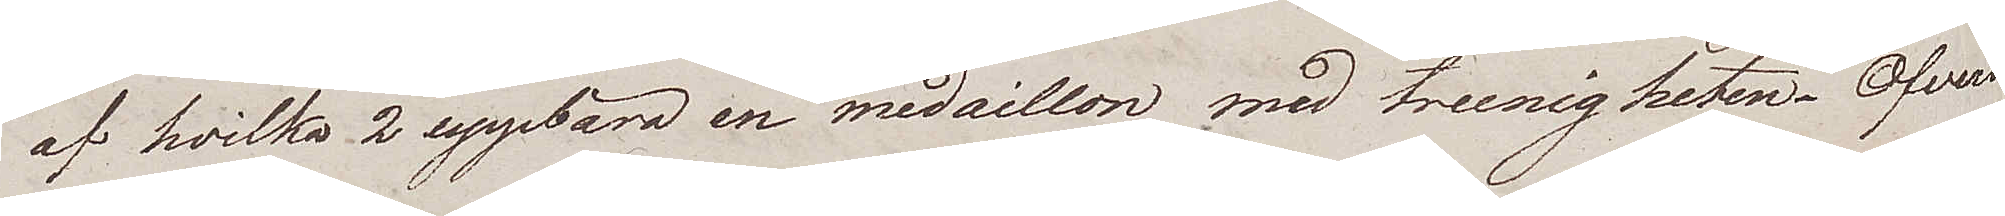af hvilka 2 uppbära en medaillon med treenigheten. Öfverst
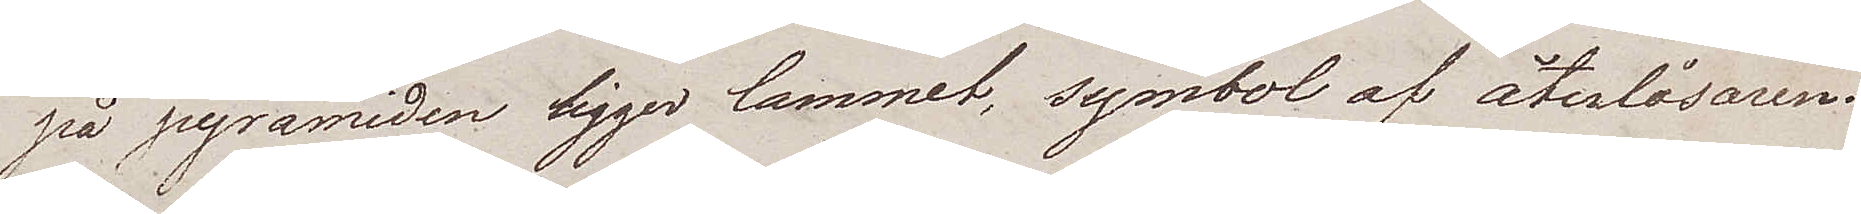på pyramiden ligger lammet, symbol af återlösaren.
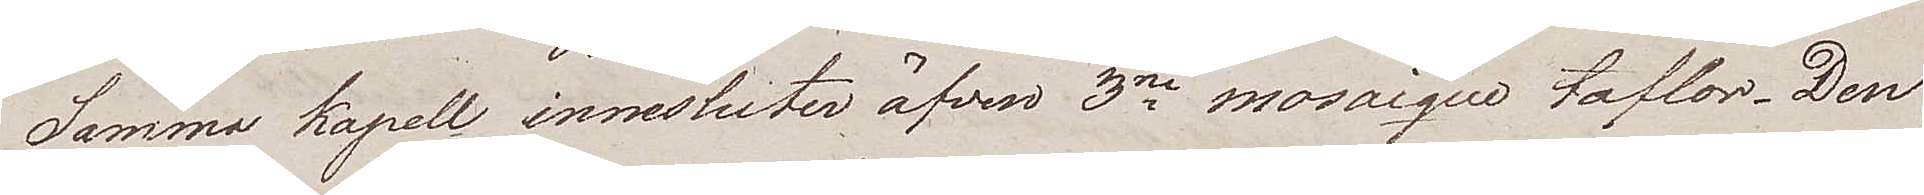Samma kapell innesluter äfven 3ne mosaique taflor. Den
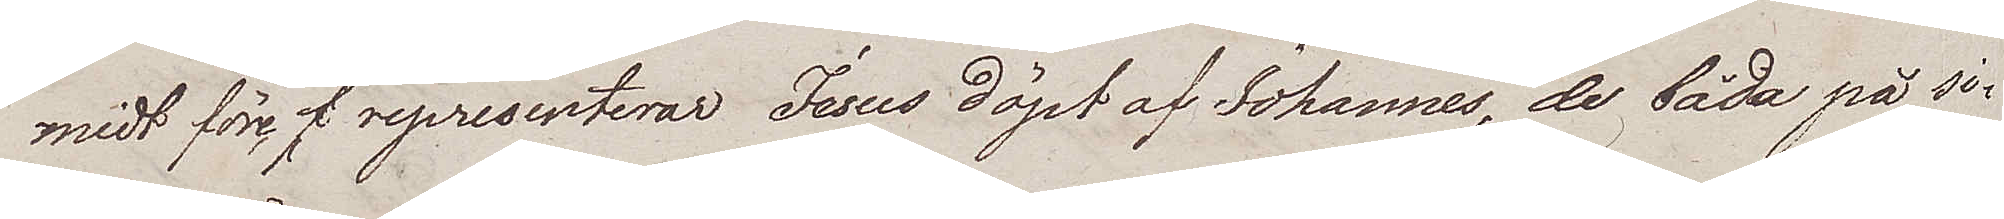midt före representerar Jesus döpt af Johannes, de båda på si¬
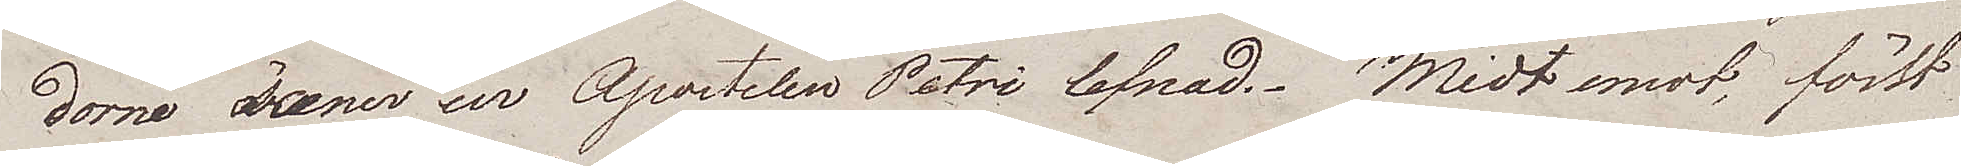dorne scener ur Apostelen Petri lefnad. Midt emot, först
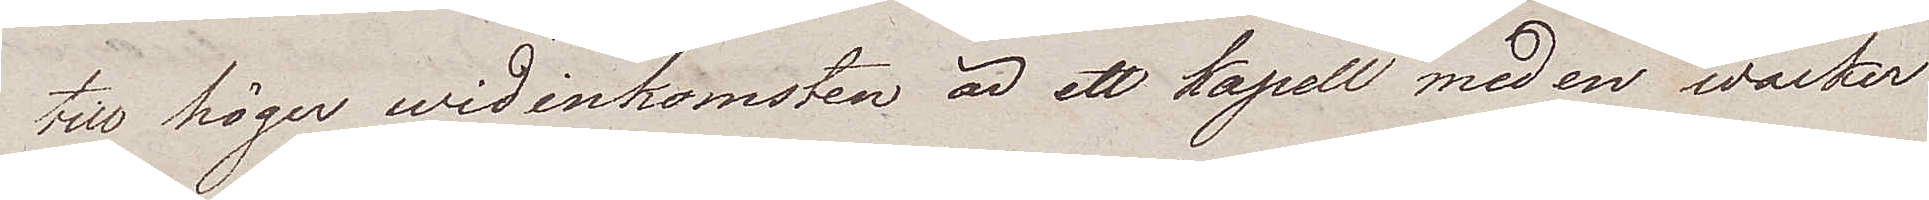till höger wid inkomsten är ett kapell med en wacker
